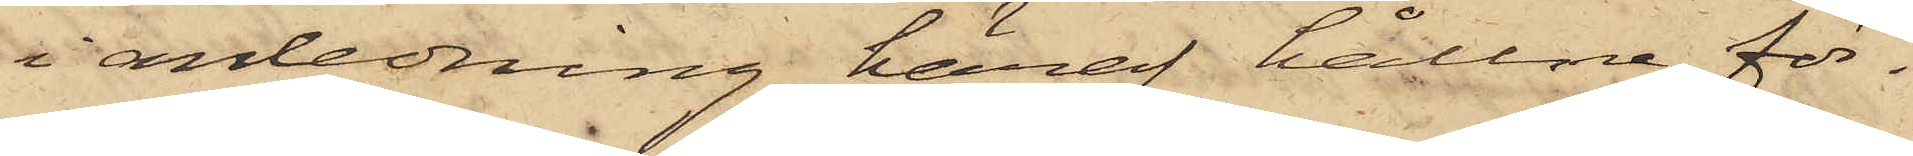i anledning häraf hållne för¬
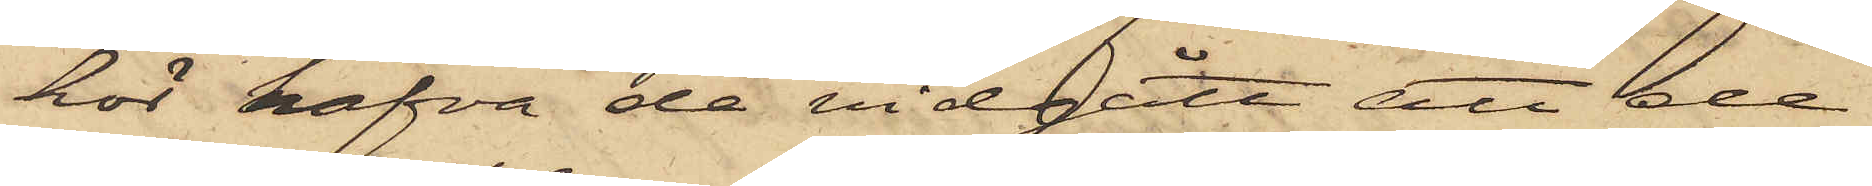hör hafva de vidgått att de
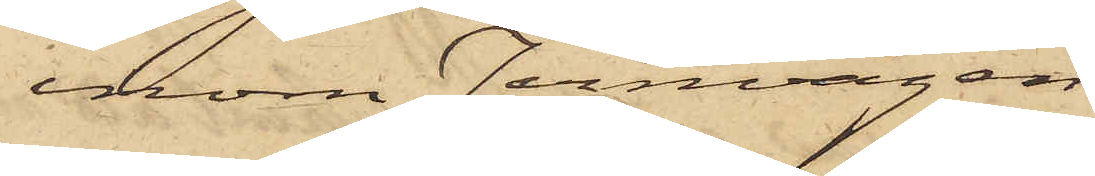inom Jernvågen
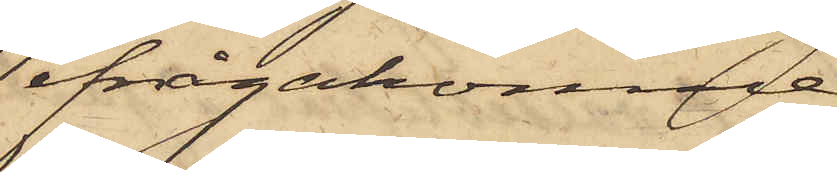ifrågakomne
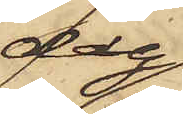dag
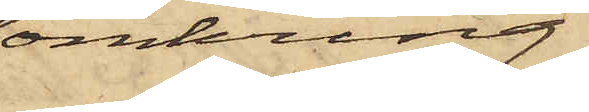omkring
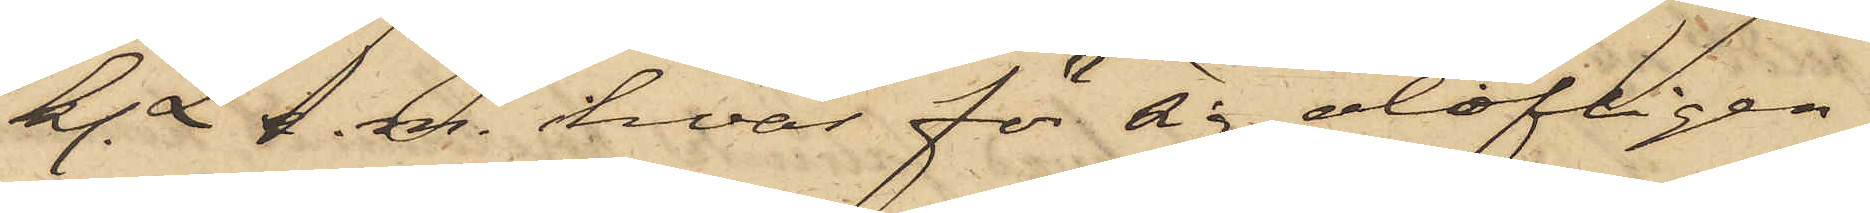kl. 2 e.m. hvar för sig olofligen
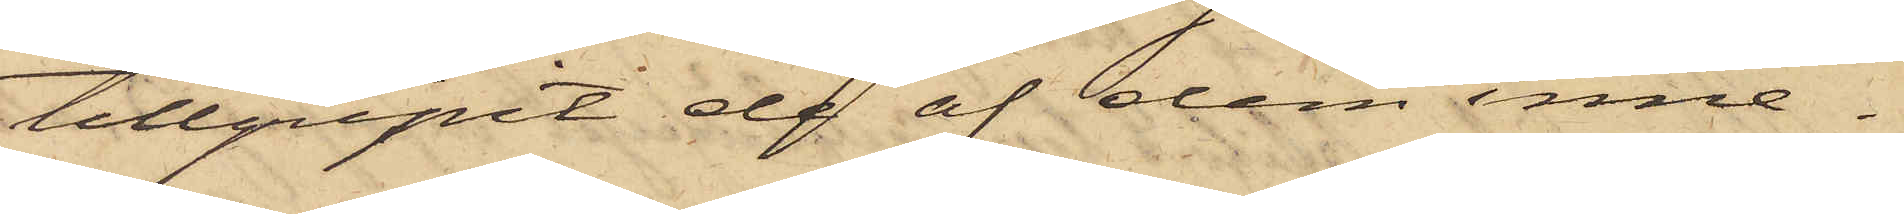tillgripit de af dem inne¬
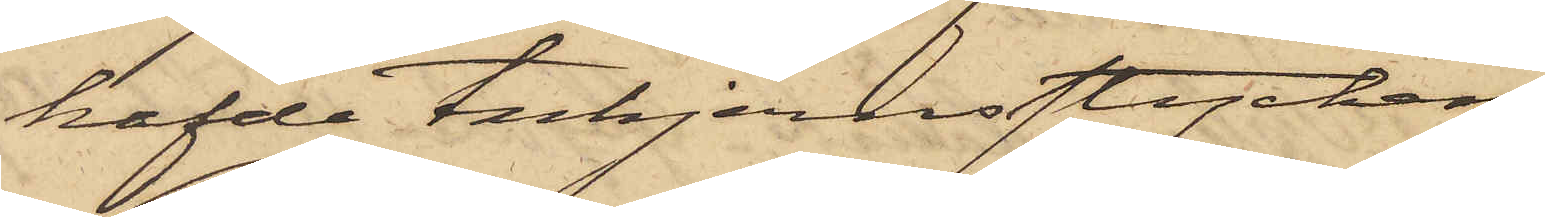hafde tackjernsstycken
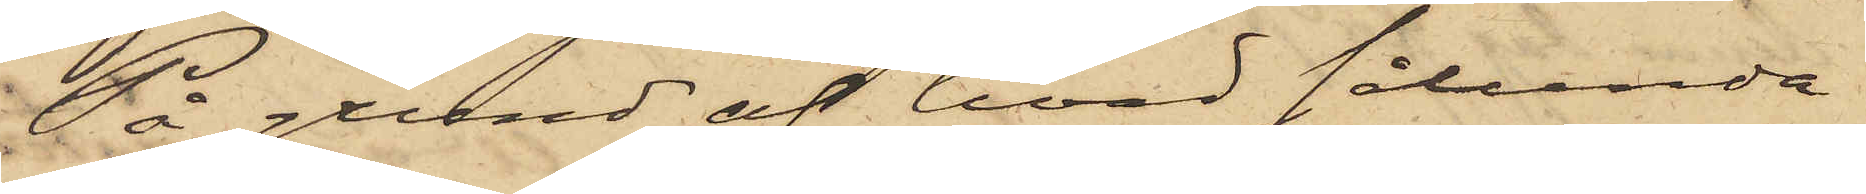På grund af hvad sålunda
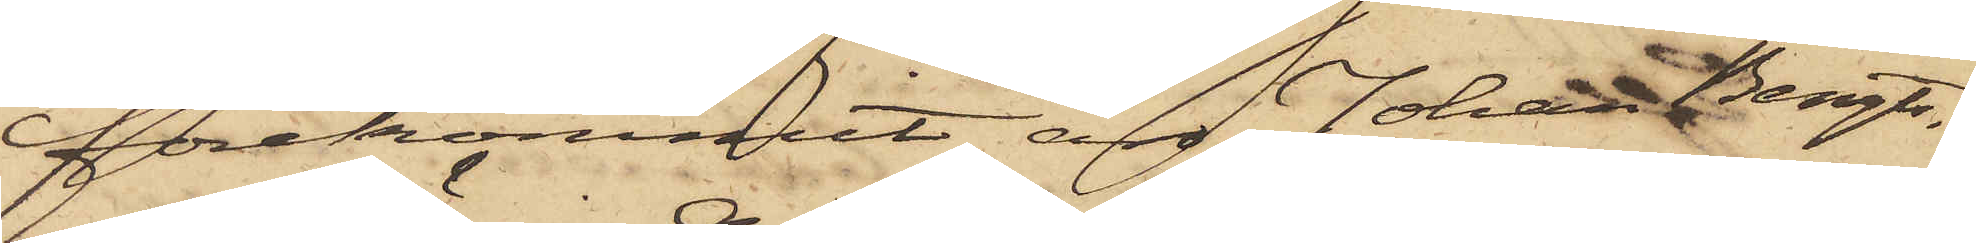förekommit äro Johan Bengts¬
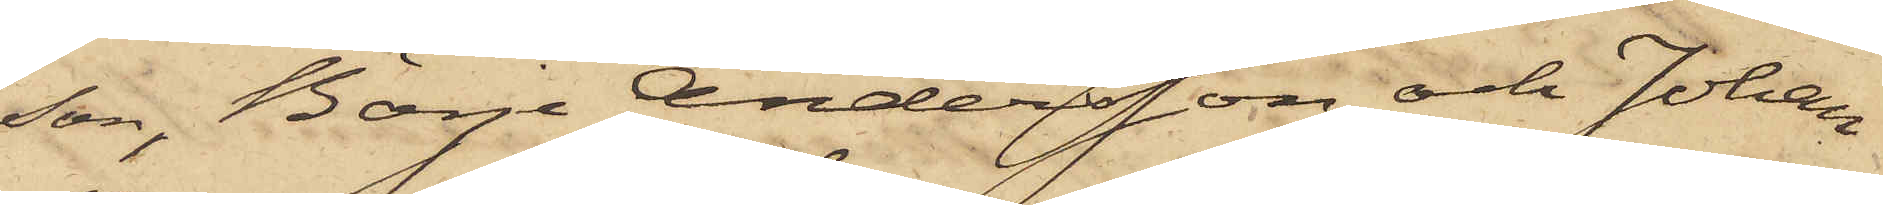son, Börje Andersson och Johan
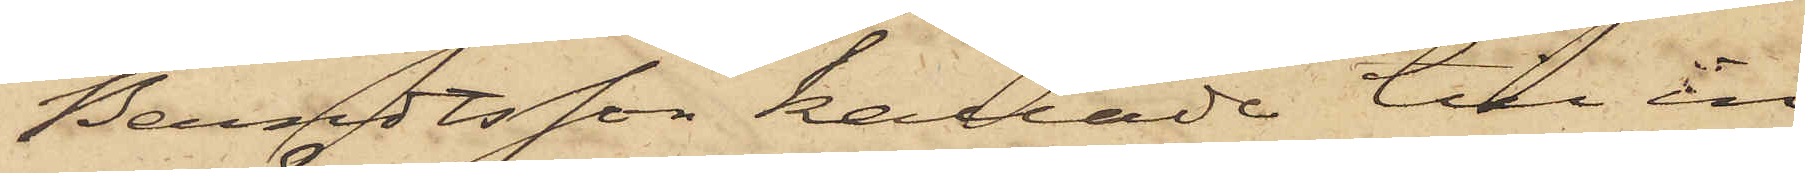Berndtsson kallade till in¬
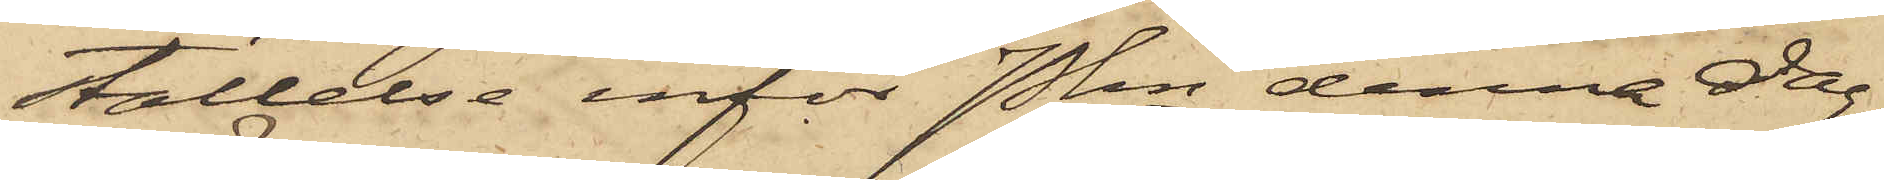ställelse inför Pkn denna dag.
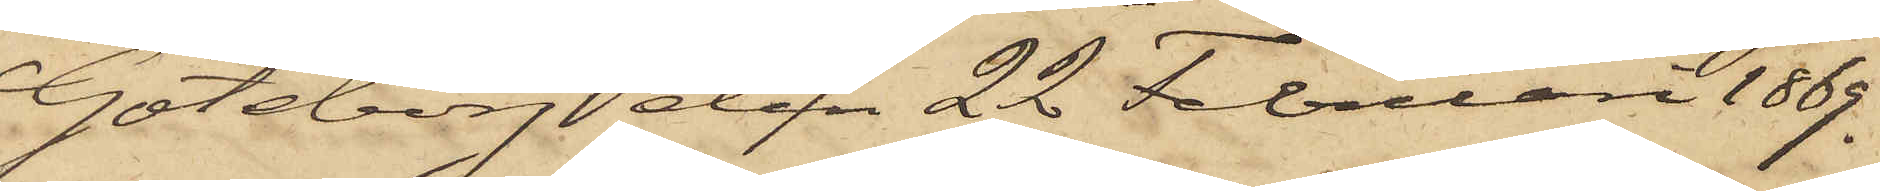Göteborg den 22 Februari 1869.
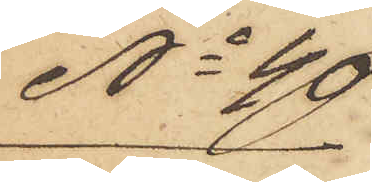No 40
